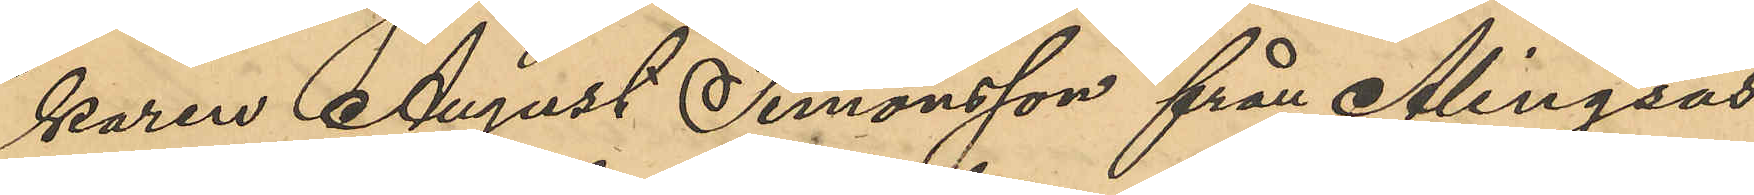karen August Simonsson från Alingsås
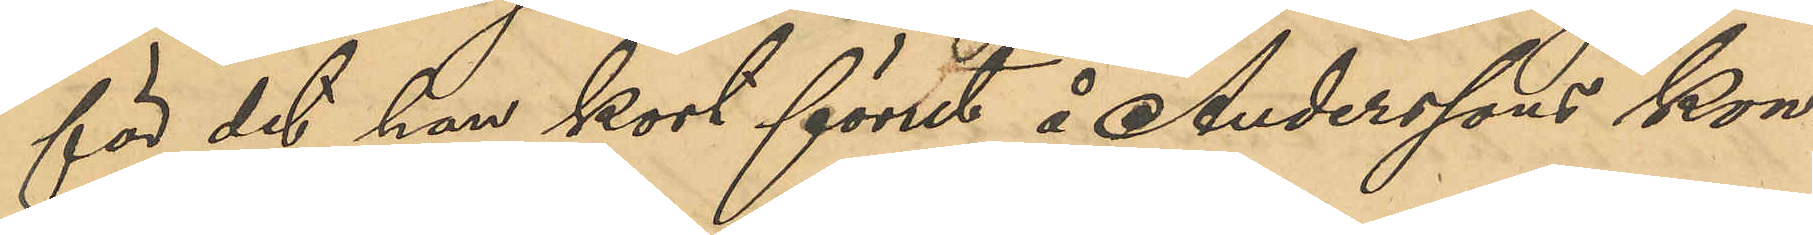för det han kort förut å Anderssons kon¬
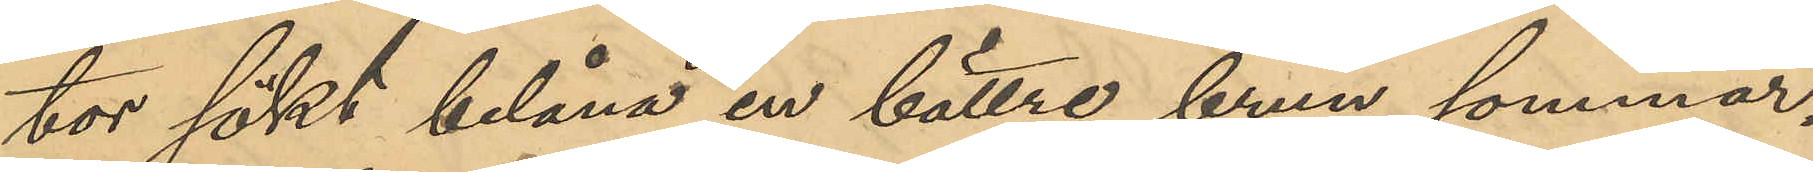tor sökt belåna en bättre brun sommar¬
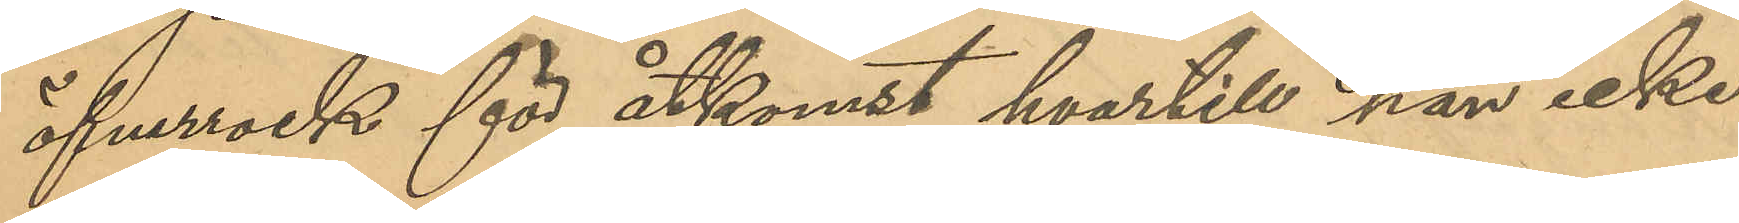öfverrock för åtkomst hvartill han icke
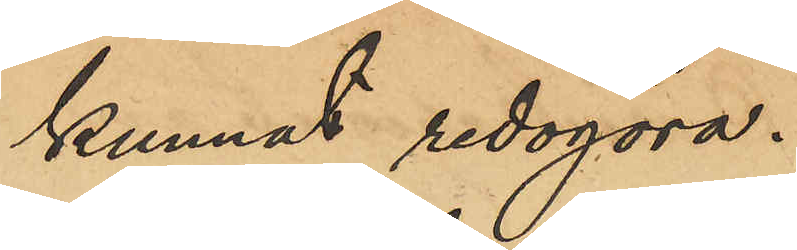kunnat redgöra
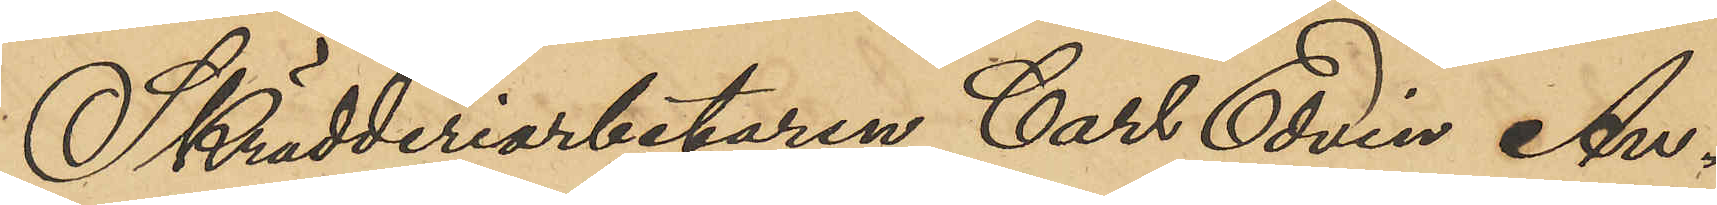Skrädderiarbetaren Carl Edvin An¬
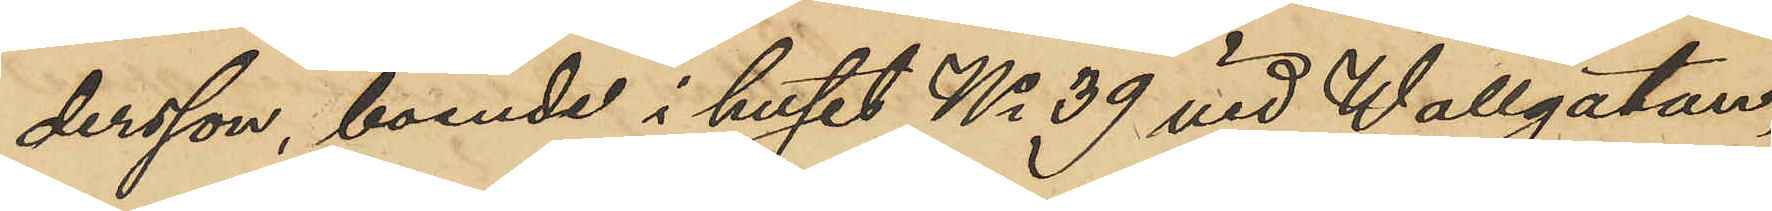dersson, boende i huset No 39 vid Wallgatan,
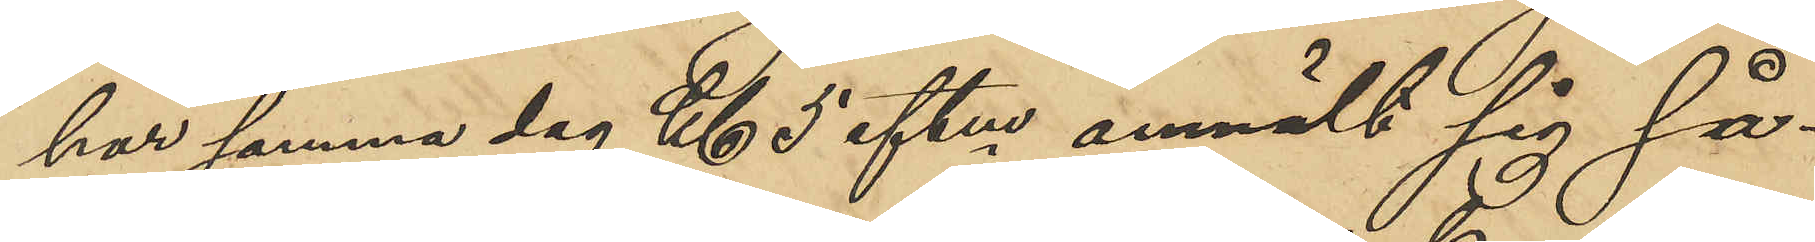har samma dag Kl 5 eftm anmält sig så¬
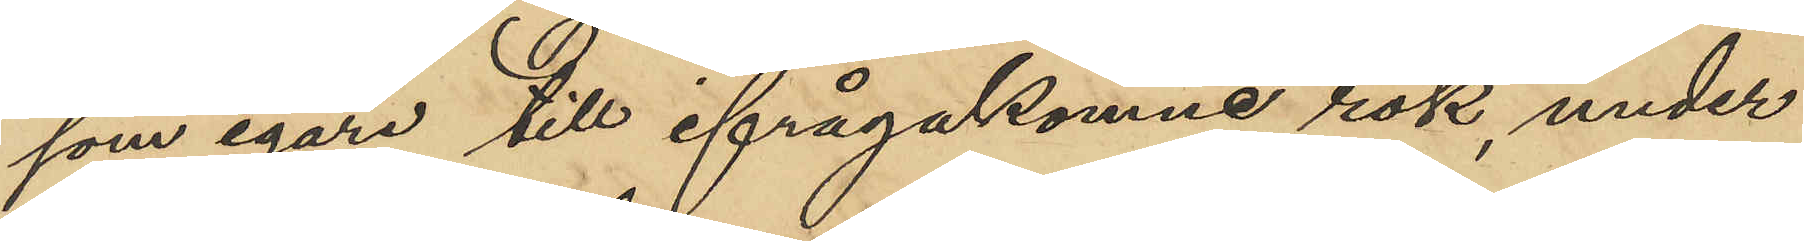som egare till ifrågakomne rok, under
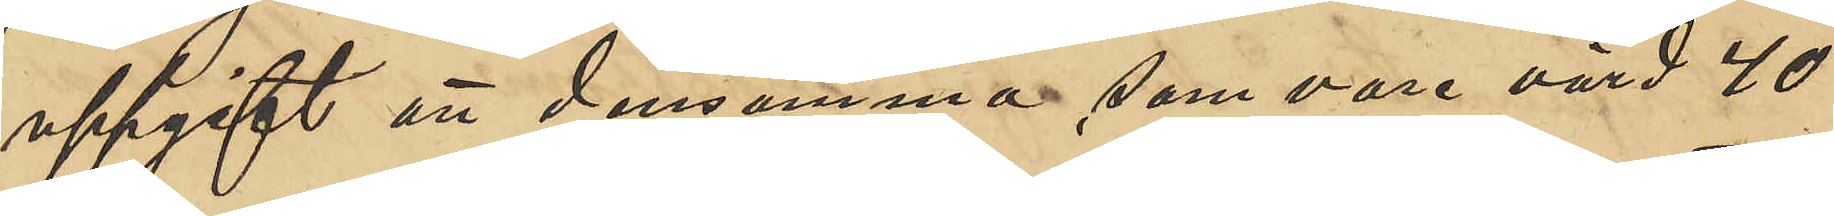uppgift att densamma som vore värd 40
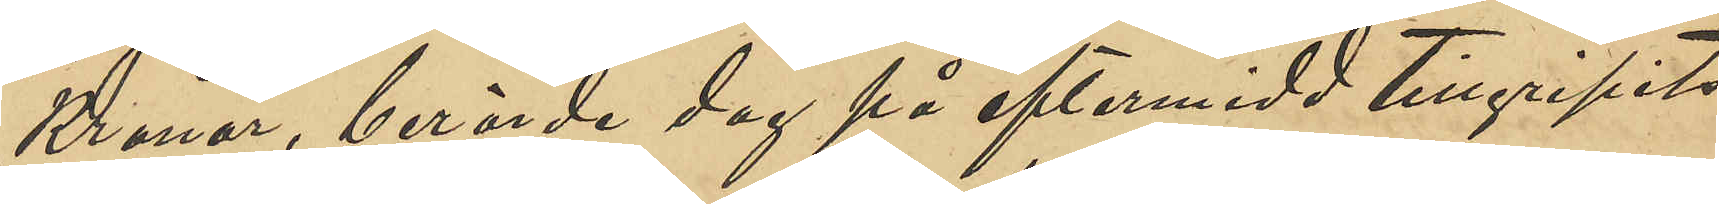Kronor, berörde dag på eftermidd tillgripits
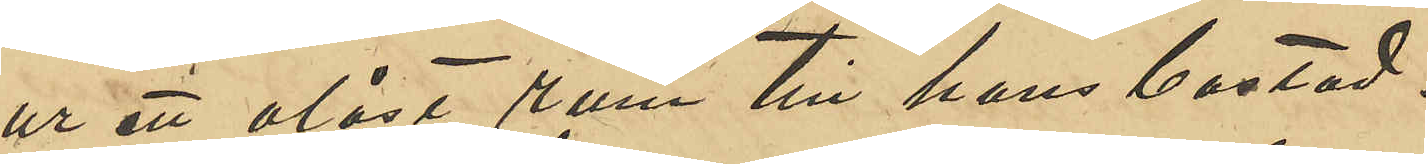ur ett olåst rum till hans bostad.
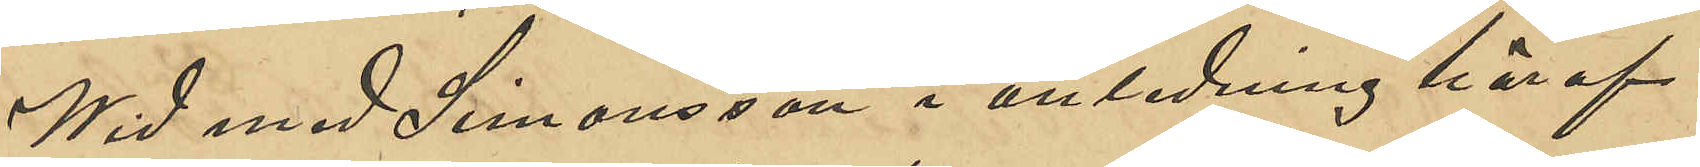Wid med Simonsson i anledning häraf
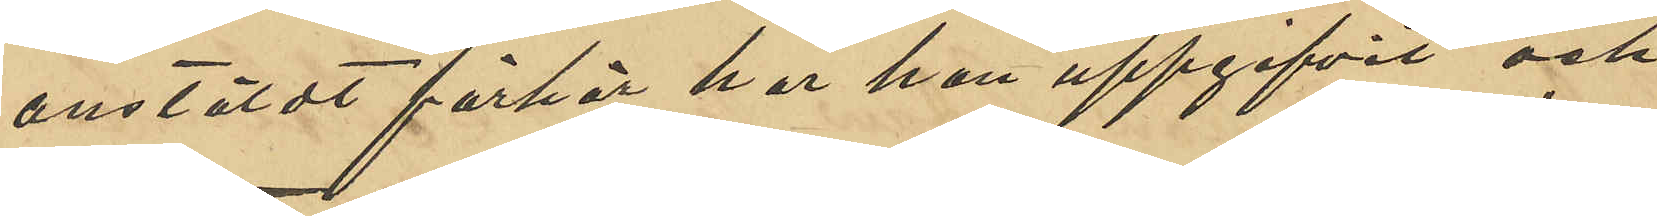anstäldt förhör, har han uppgifvit och
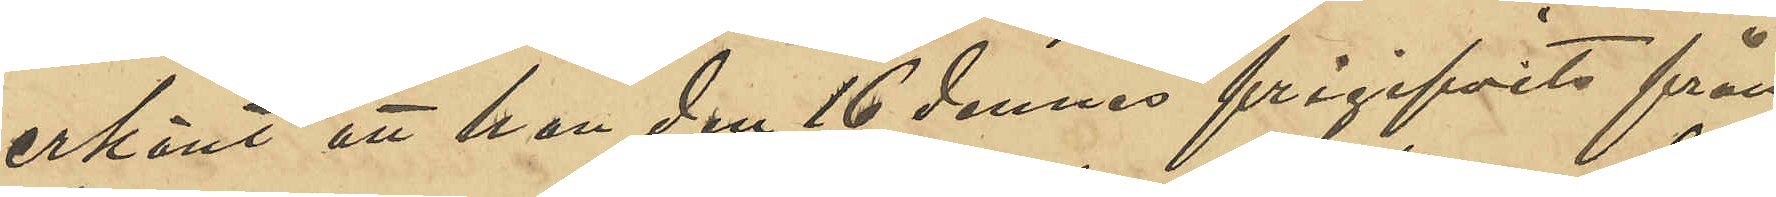erkänt att han den 16 dennes frigifvits från
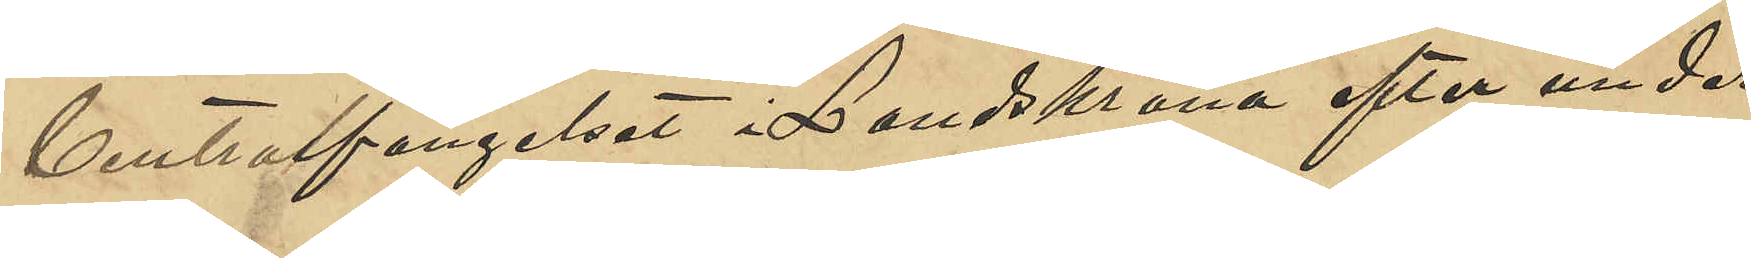Centralfängelset i Landskrona efter under¬
